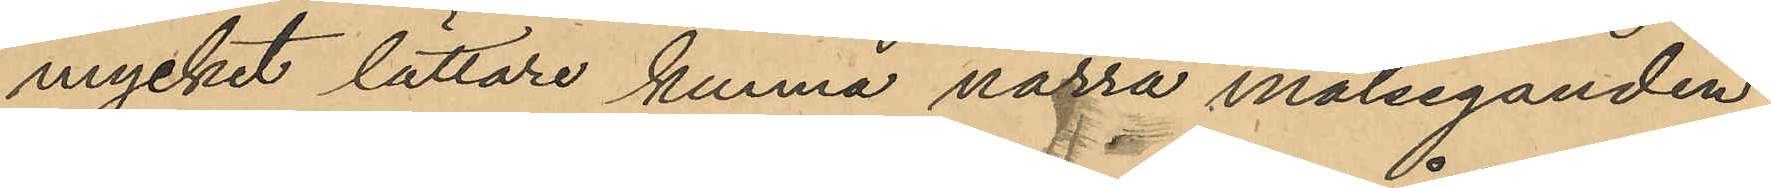mycket lättare kunna narra målseganden
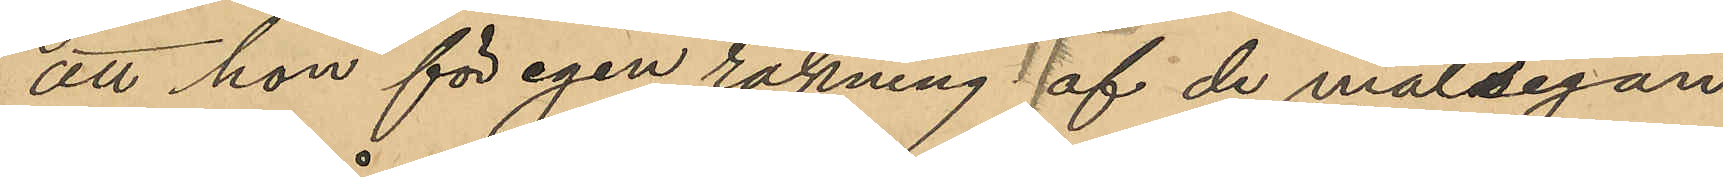att hon för egen räkning af de målsegan¬
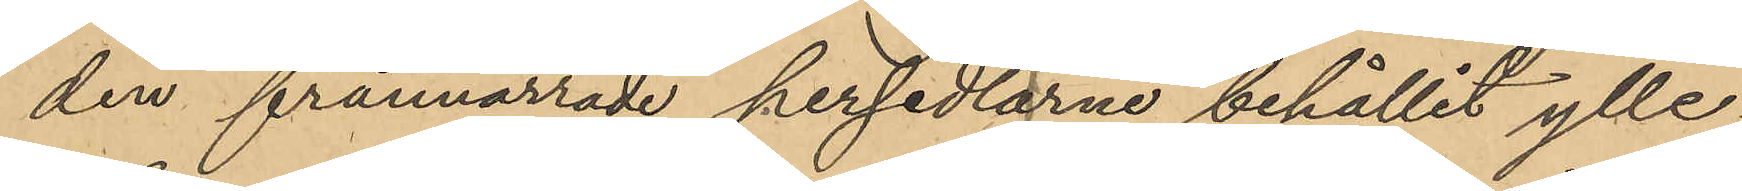den frånnarrade persedlarne behållit ylle¬
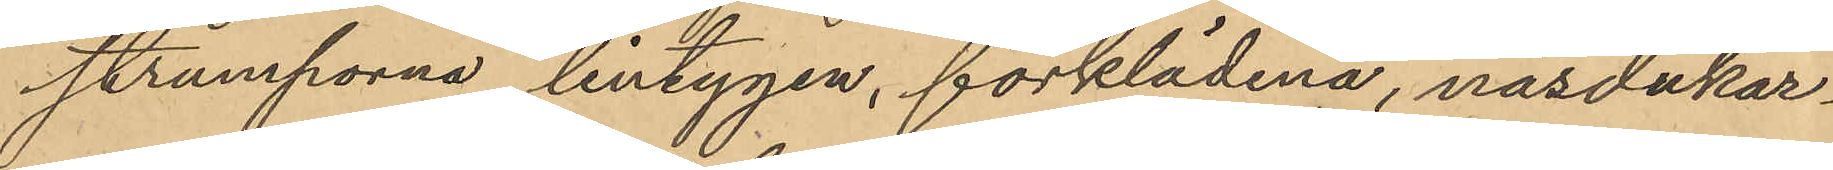strumporna, lintygen, förklädena, näsdukar¬
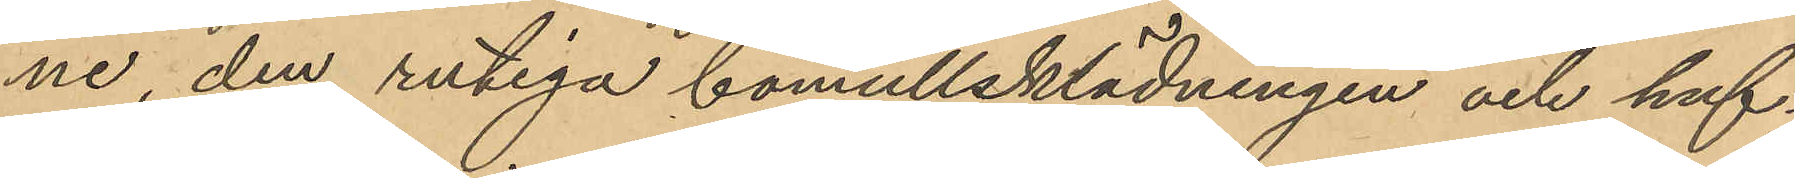ne den rutiga bomullsklädningen och huf¬
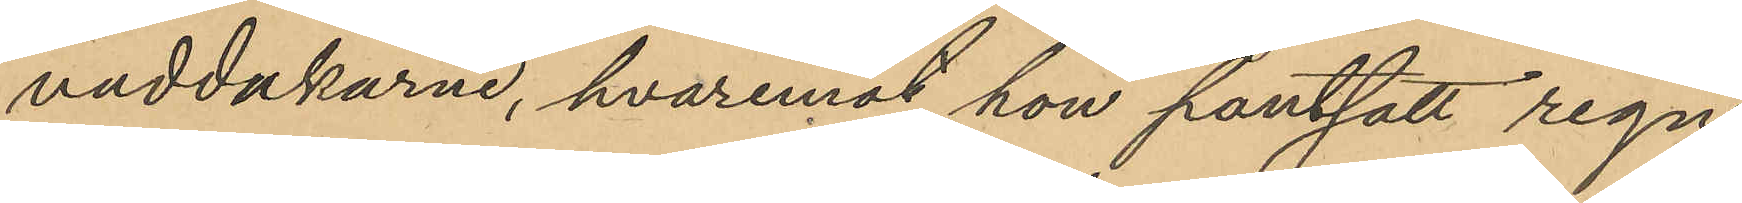vuddukarne, hvaremot hon pantsatt regn¬
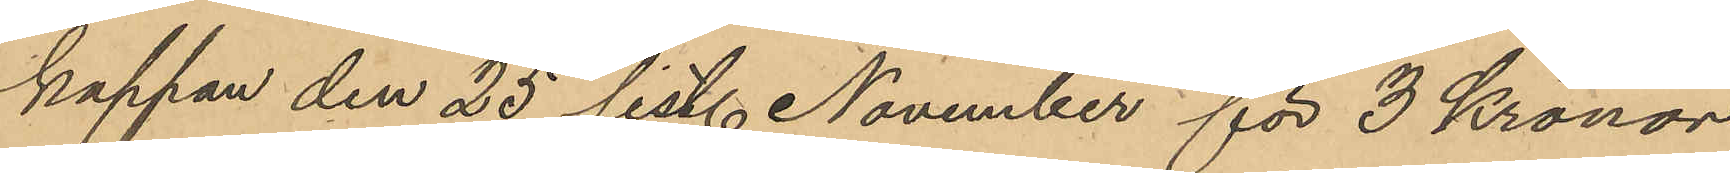kappan den 25 sist. November för 3 Kronor
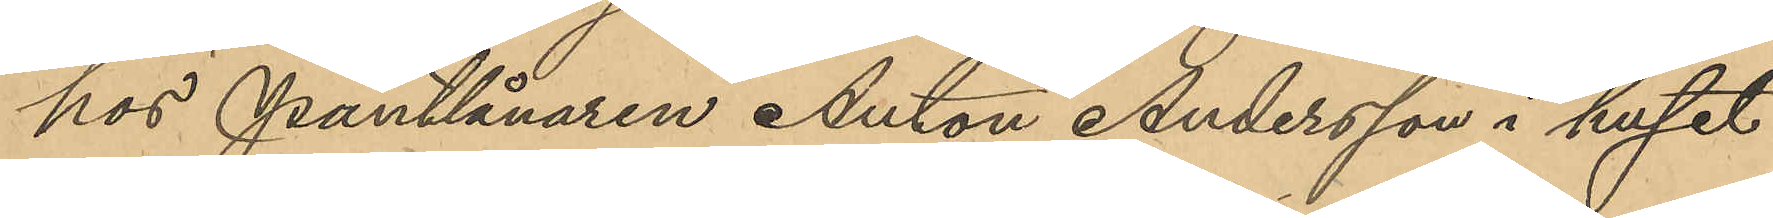hos Pantlånaren Anton Andersson i huset
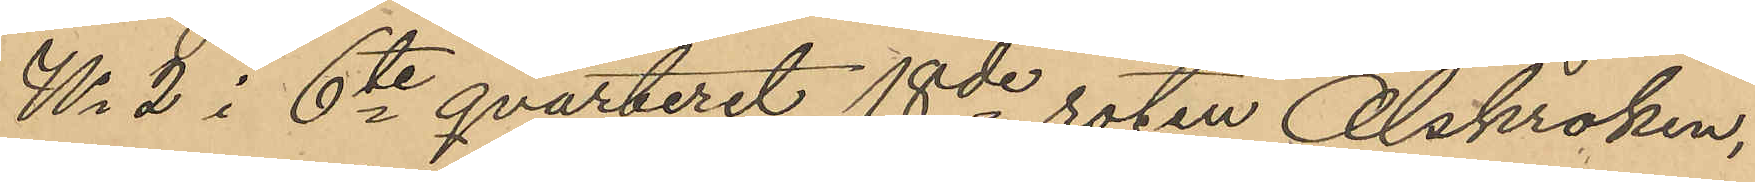No 2 i 6te qvarteret 18de roten Olskroken,
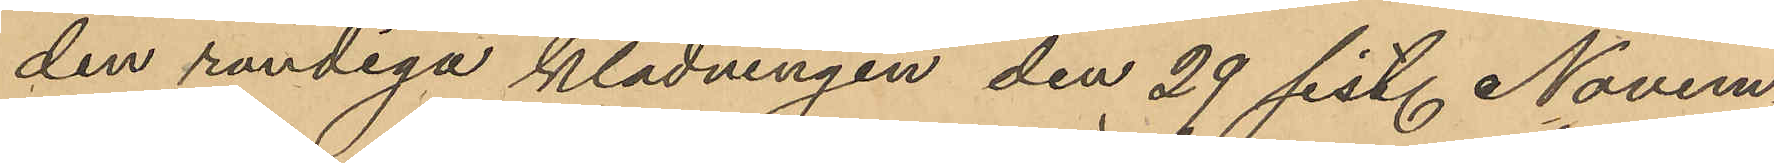den randiga klädningen den 29 sist. Novem¬
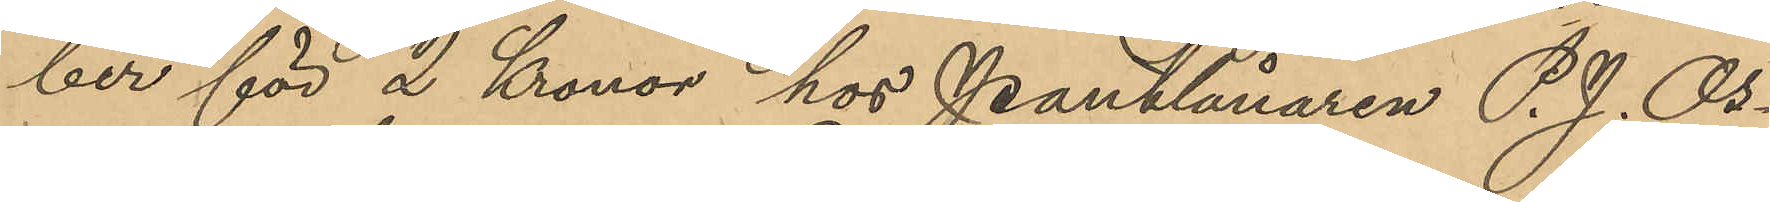ber för 2 Kronor hos Pantlånaren P. J. Os¬
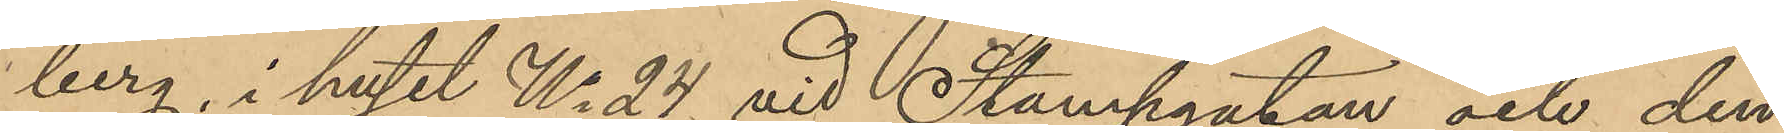berg, i huset No 24 vid Stampgatan och den
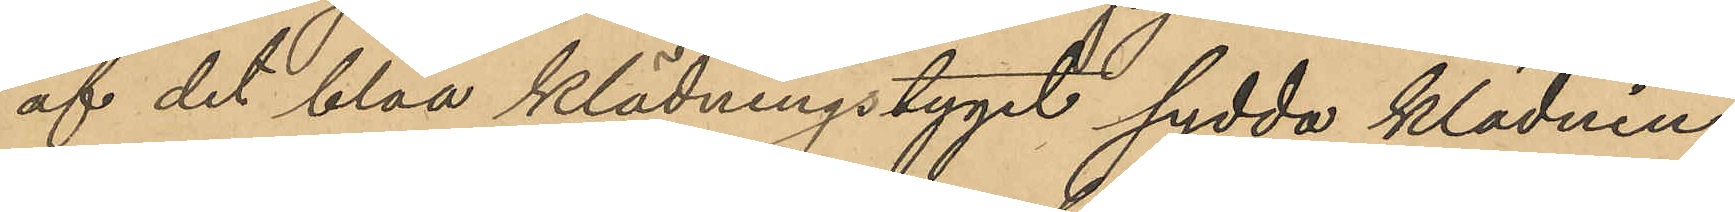af det blåa klädningstyget sydda klädnin¬
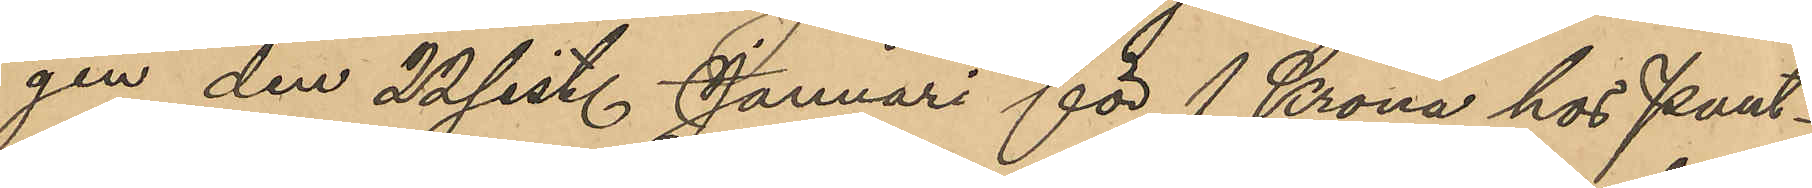gen den 22 sist. Januari för 1 Krona hos Pant¬
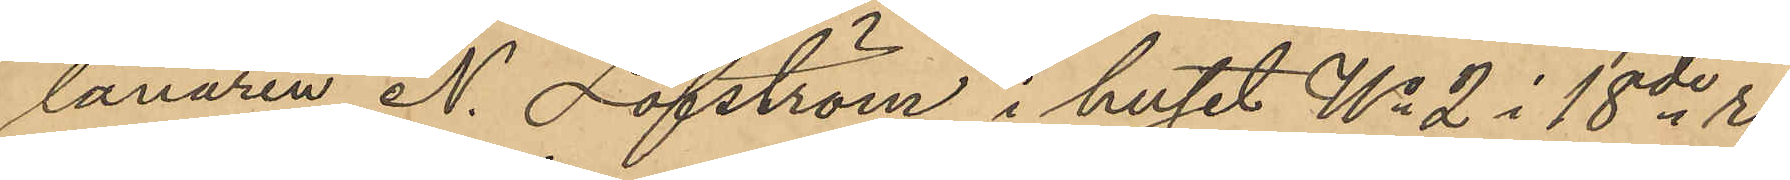lånaren N. Löfström i huset No 2 i 18de ro¬
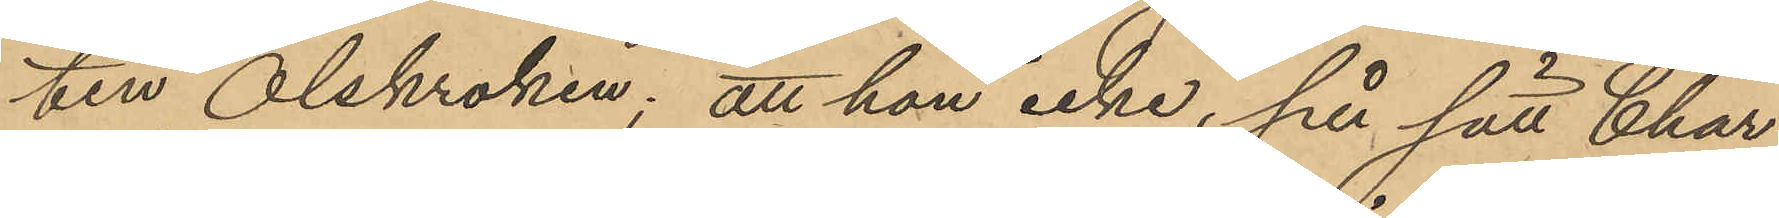ten Olskroken; att hon icke, på sätt Char¬
